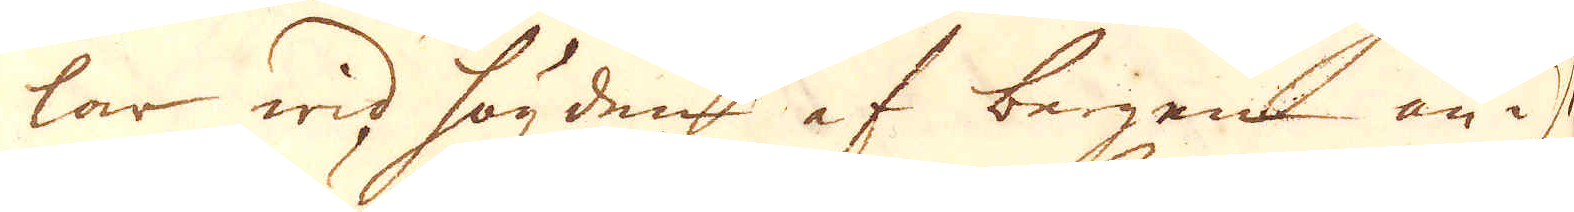lar wid högden af bergen än i s
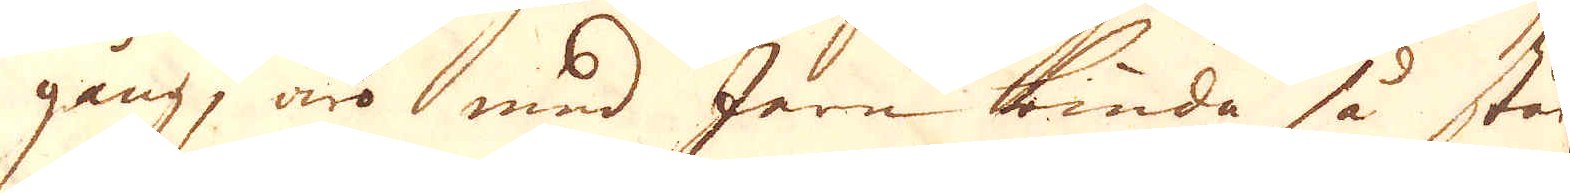gång, äro med Jern binda så starkt
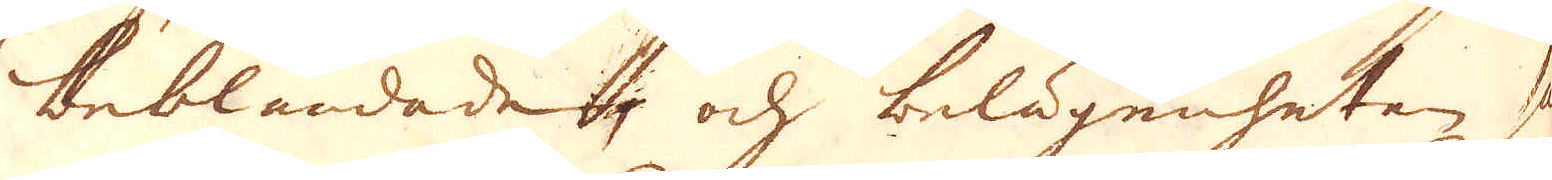beblandade, och belägenheten så
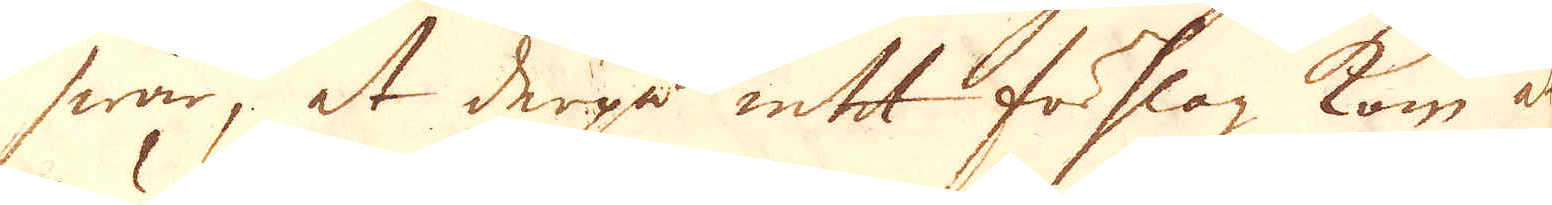swår, at derpå intet förslag kom at
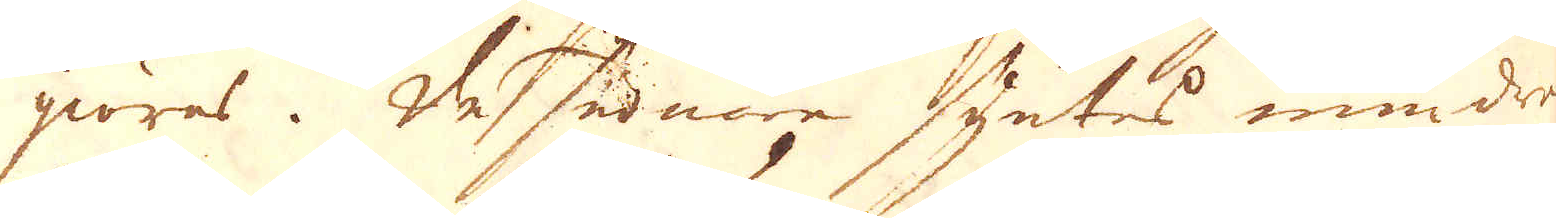giöras. De senare syntes mindre
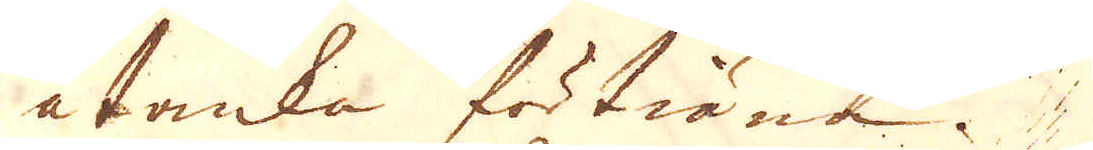åtanka förtiäna. 
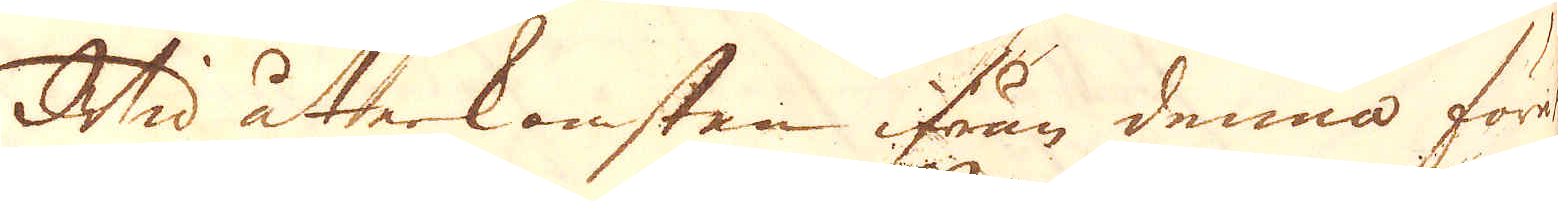Wid återkomsten ifrån denna företogs
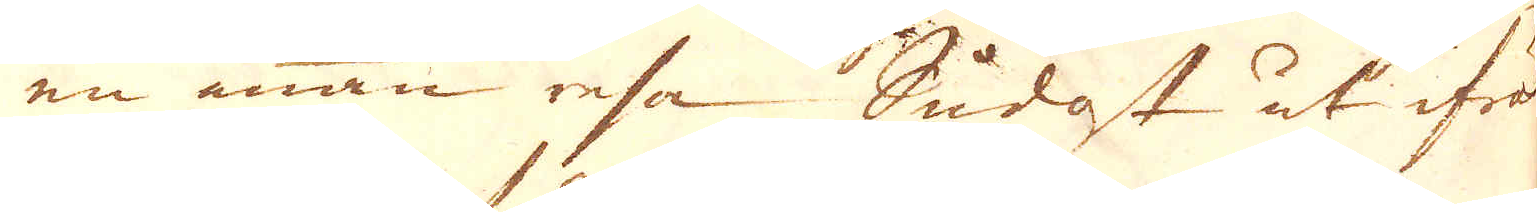en annan resa Sudost ut ifrån
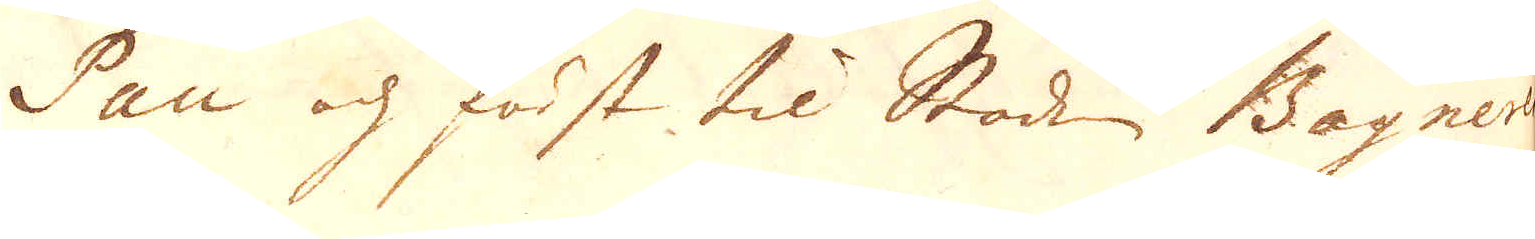Pau och först til Staden Bagner
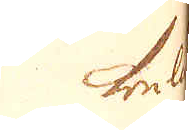bel
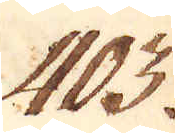403.
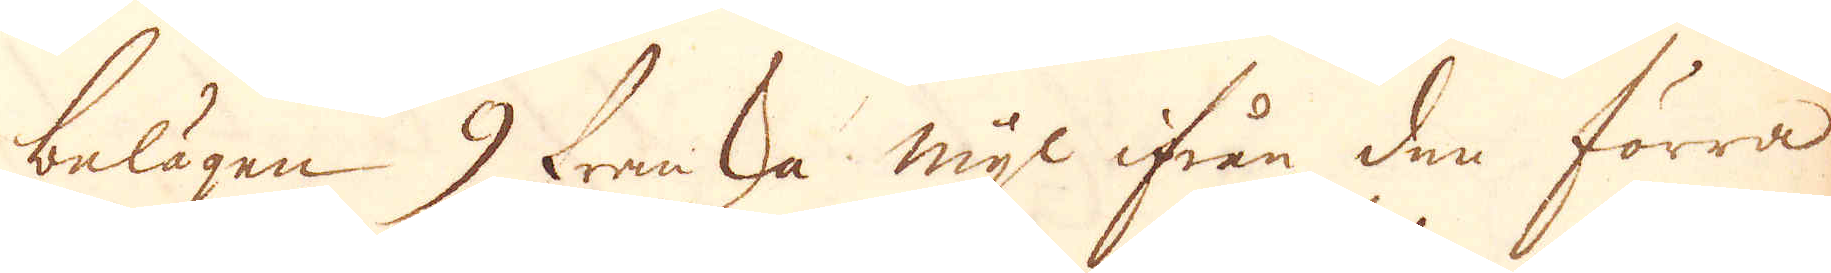belägen 9 franska mijl ifrån den förra
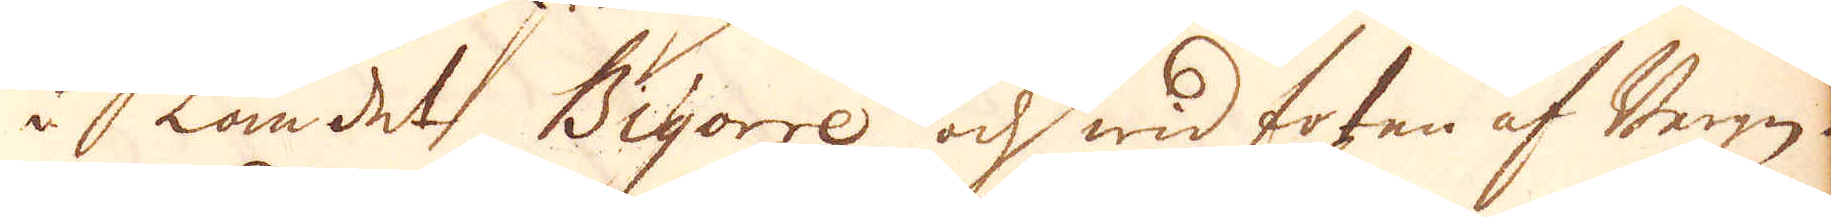i Landet, Bigorre och wid foten af Bergen.
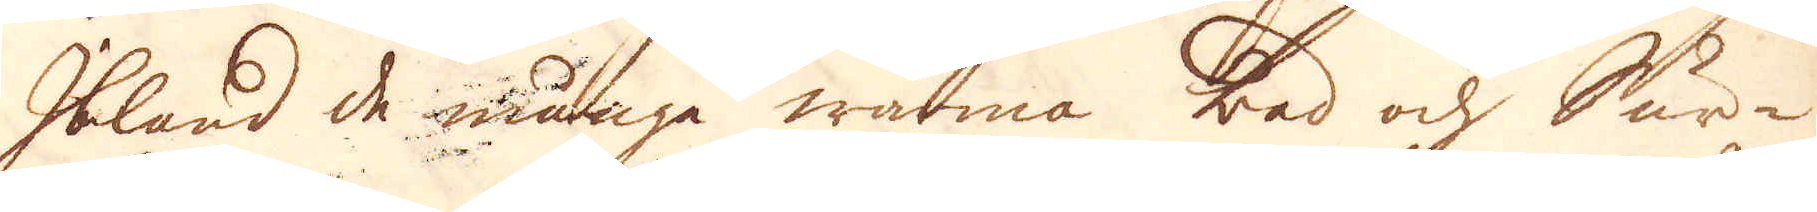Ibland de många warma bad och kur-
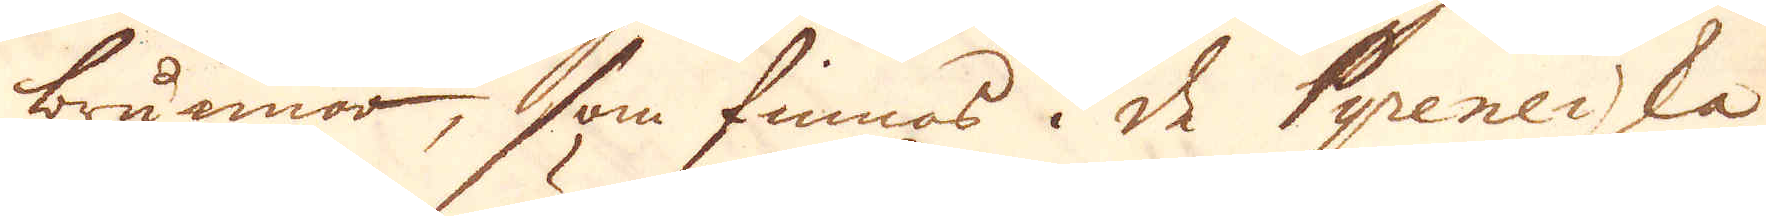brunnar, som finnas i de Pyeneiska
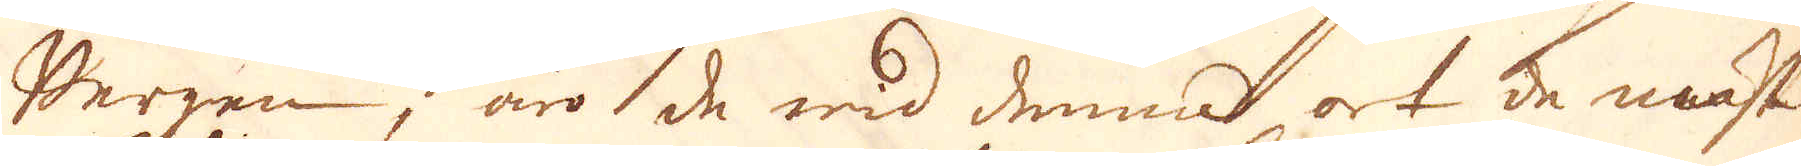Bergen, äro de wid denna ort de mäst
